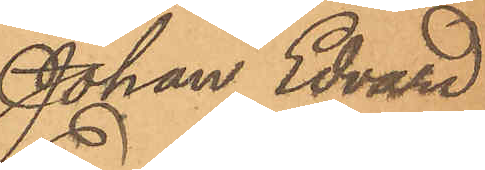Johan Edvard
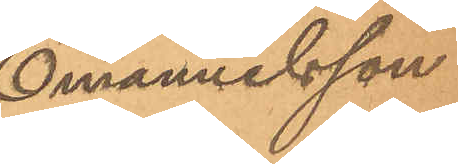Emanuelsson
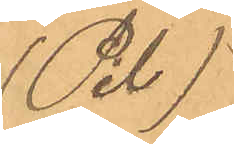(Pil)
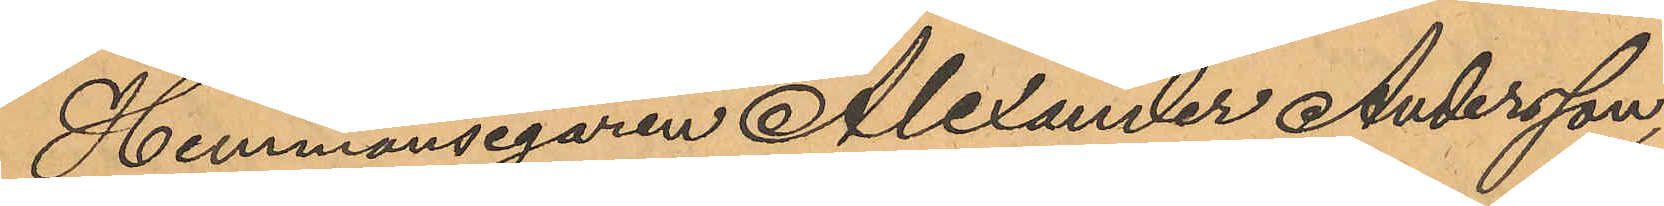Hemmansegaren Alexander Andersson,
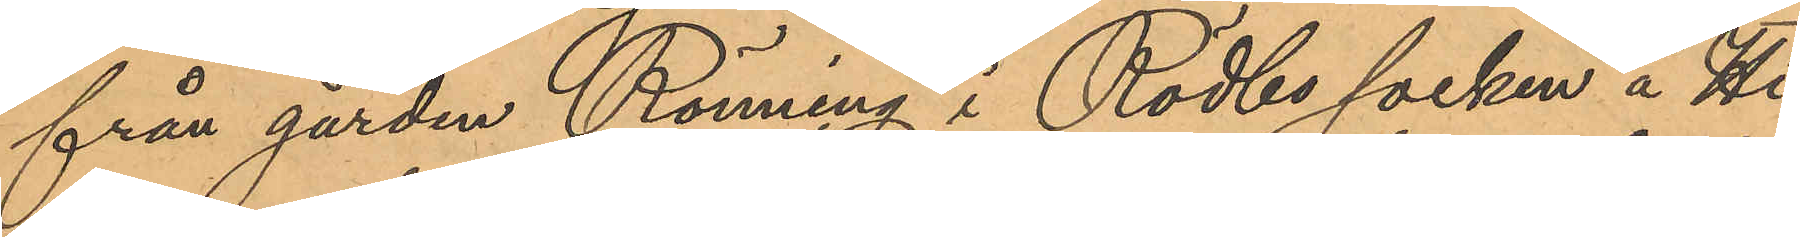från gården Rönning i Rödbo socken å Hi¬
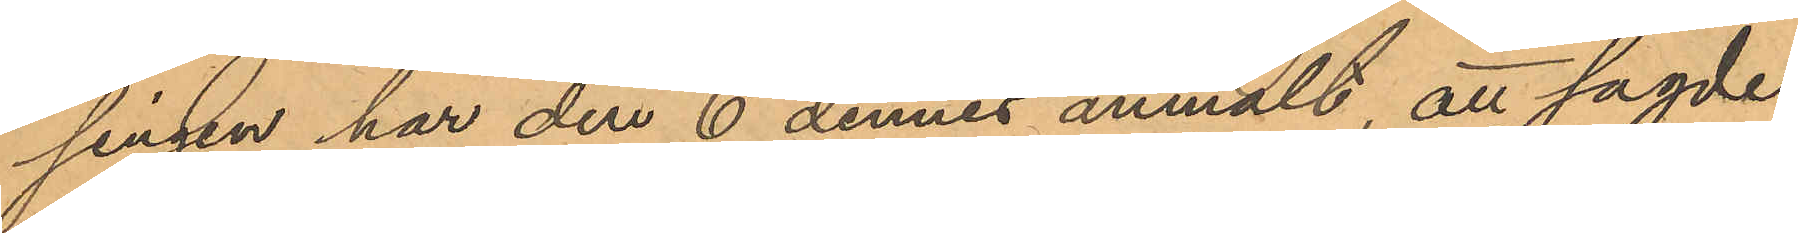singen har den 6 dennes anmält, att sagde
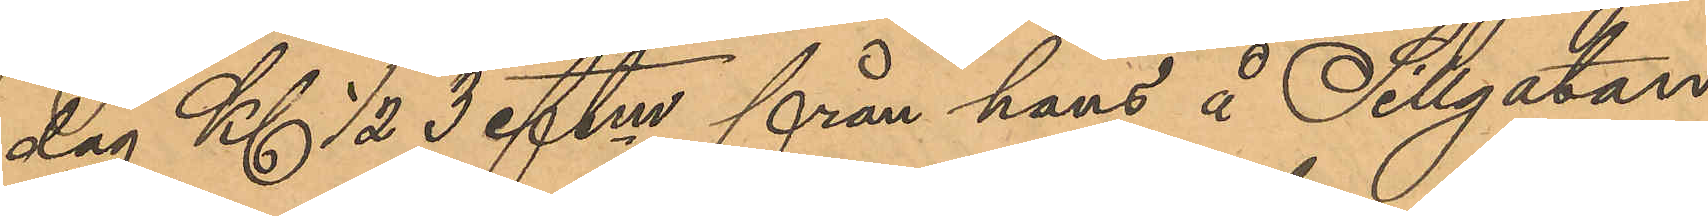dag Kl. ½ 3 eftm från hans å Sillgatan
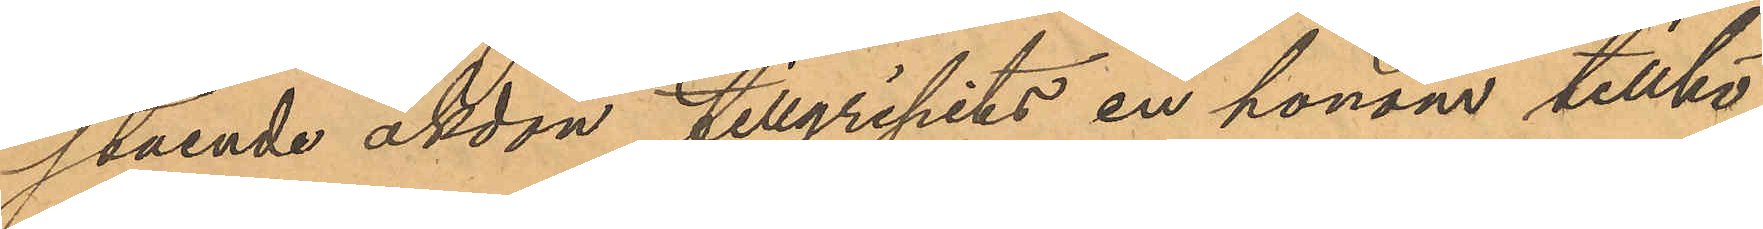stående åkdon tillgripits en honom tillhö¬
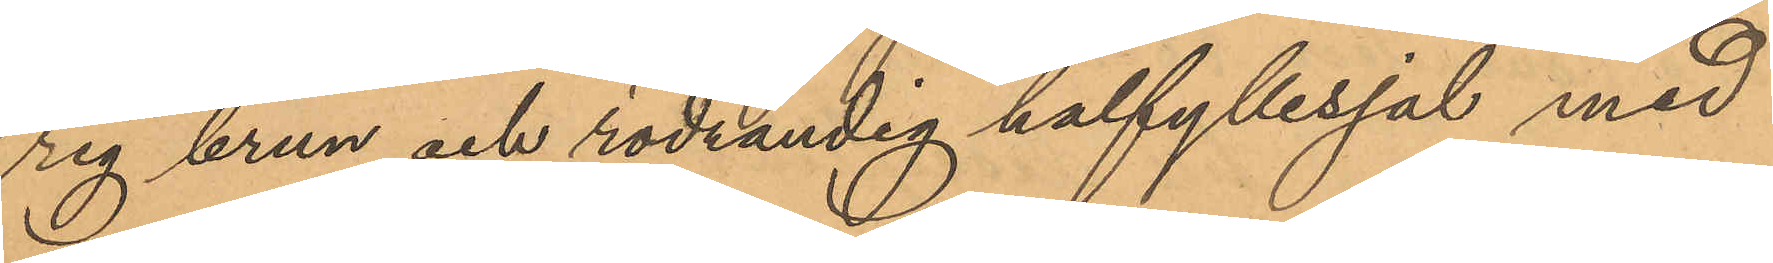rig brun och rödrandig halfyllesjal med
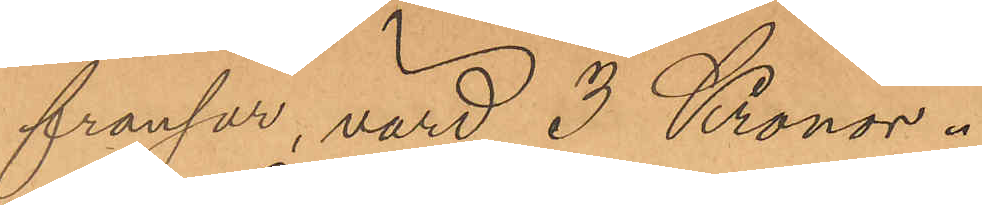fransar, värd 3 Kronor.
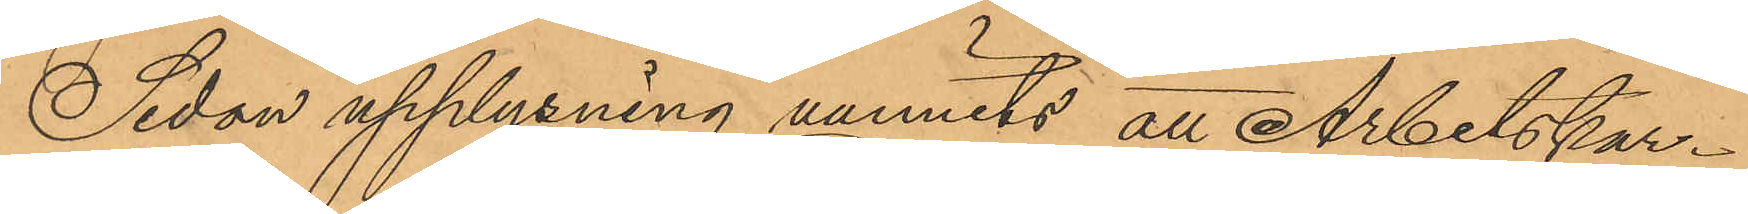Sedan upplysning vunnits att Arbetskar¬
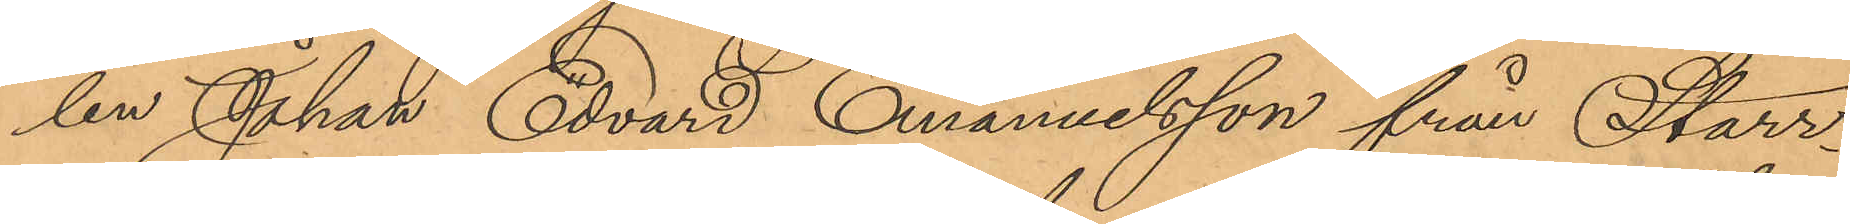len Johan Edvard Emanuelsson från Starr¬
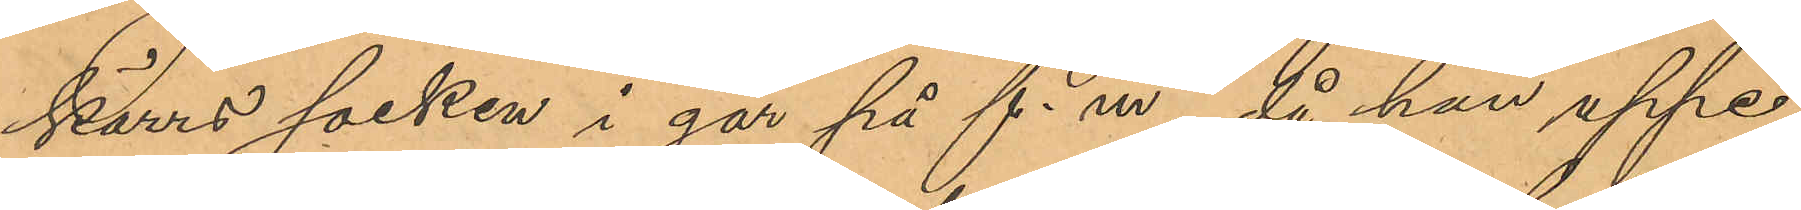kärrs socken i går på f. m, då han uppe¬
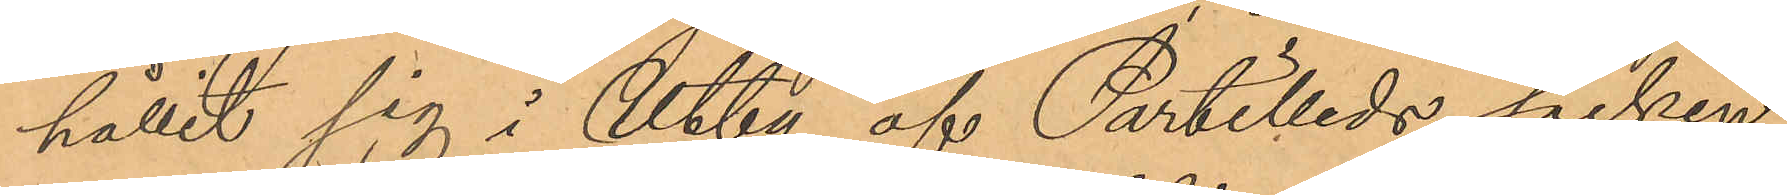hållit sig i Utby af Partilleds socken
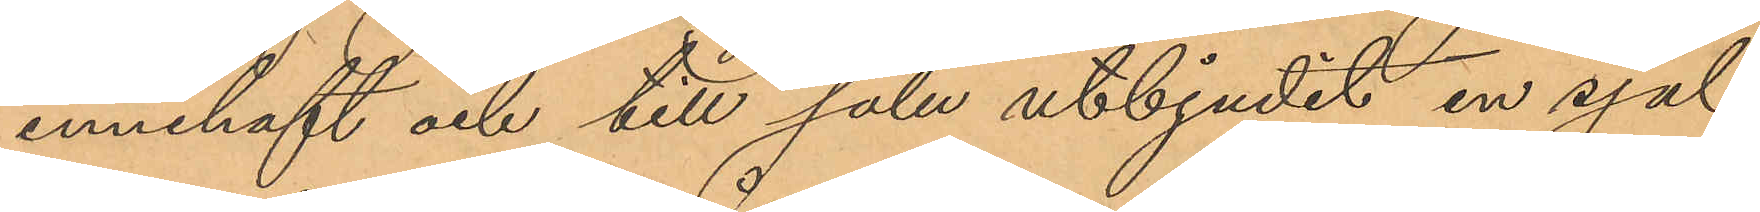innehaft och till salu utbjudit en sjal,
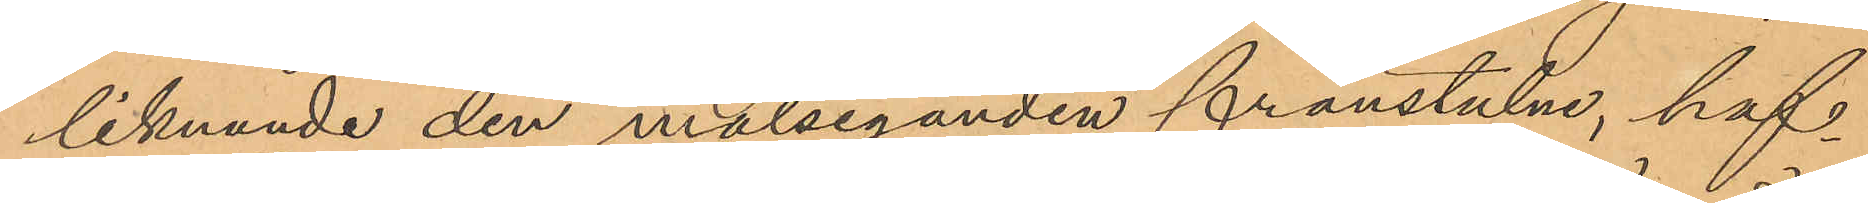liknande den målseganden frånstulne, haf¬
